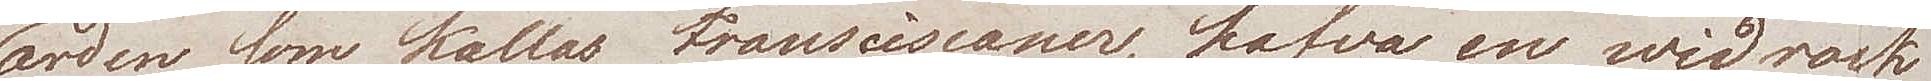orden som kallas Fransciscaner, hafva en wid rock
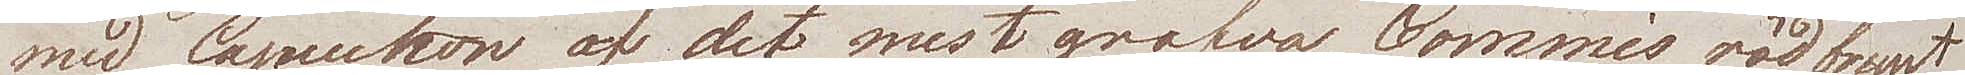med Capuchon af det mest grofva Commis rödbrunt
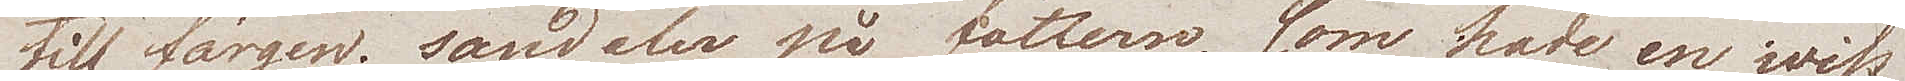till färgen; sandaler på fötterne, som hade en wiss
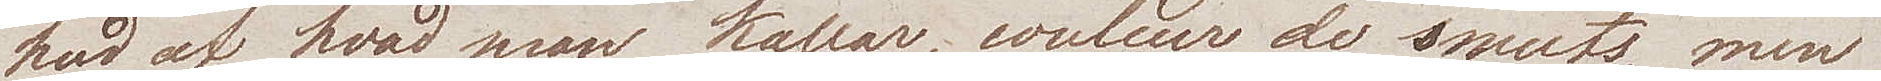hud af hvad man kallar, coleur de smuts, men
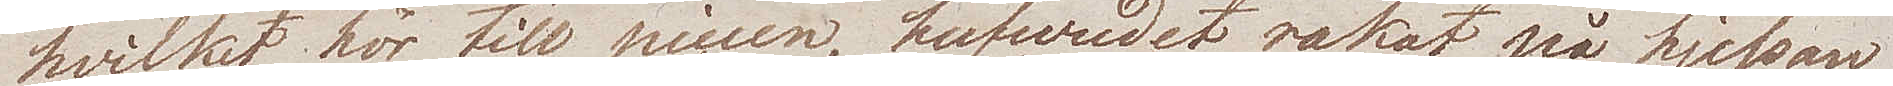hvilket hör till piècen, hufvudet rakat på hjessan
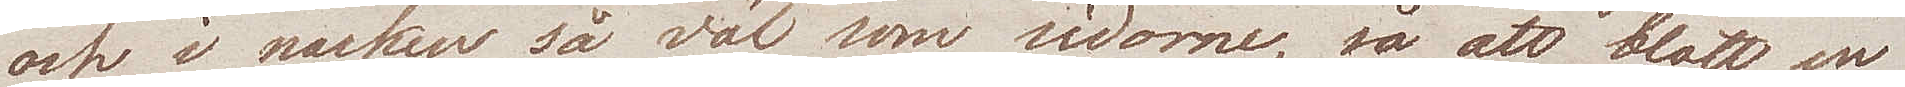och i nacken så väl som sidorne, så att blott en
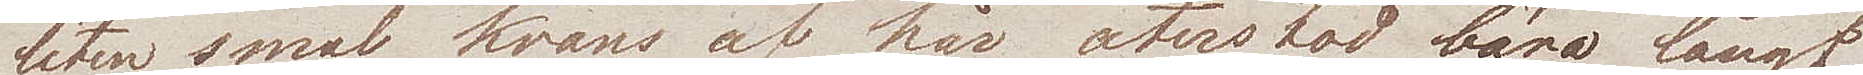liten smal krans af hår återstår, bära långt
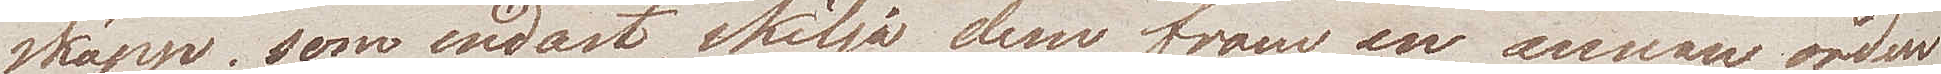skägg; som endast skilja dem från en annan orden
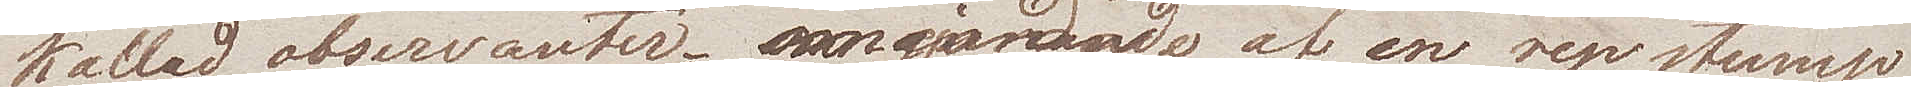kallad observanter, omgjordade af en repstump
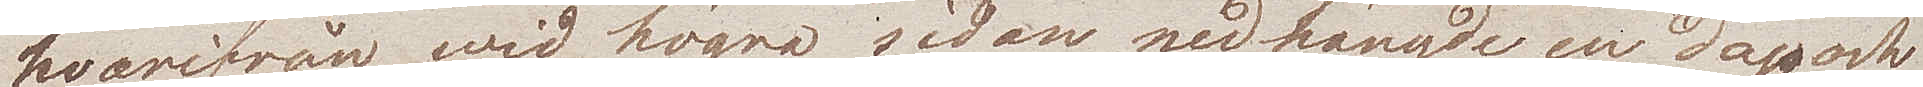hvarifrån wid ögra sidan nedhängde en dagg och
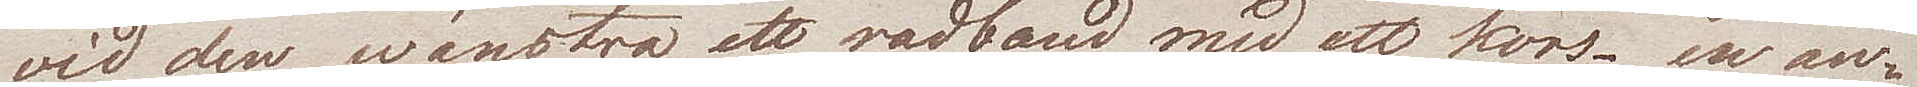wid den wänstra ett radband med ett kors, en an¬
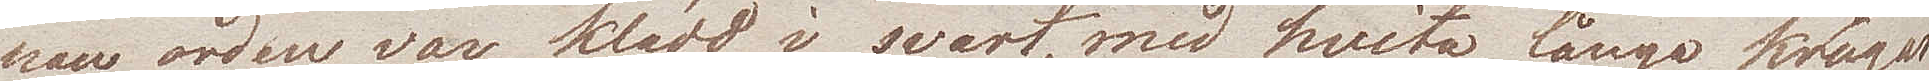nan orden var klädd i svart, med hvita långa kragar
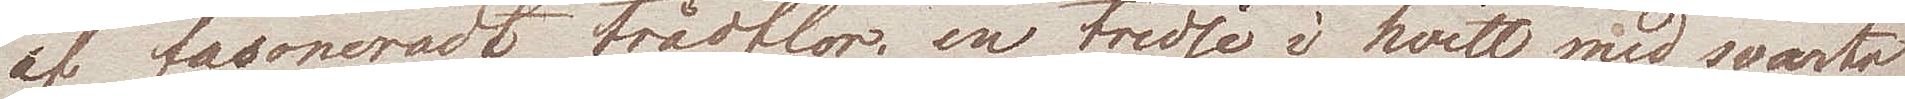af fasoneradt trådflor; en tredje i hvitt med svarta
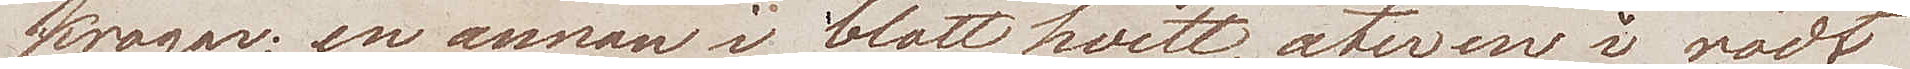kragar; en annan i blott hvitt, åter en i rödt
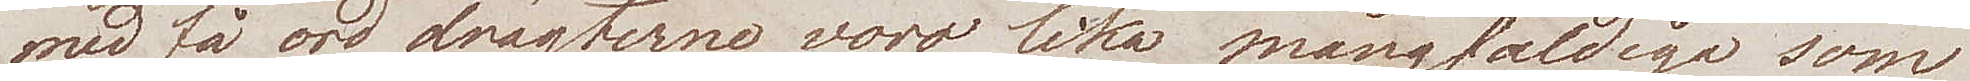med få ord drägterne voro lika mångfaldiga som
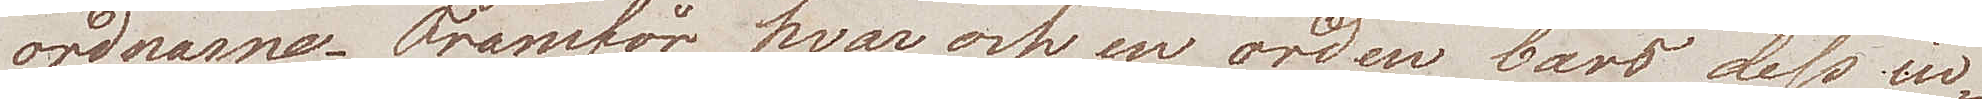ordnarne. Framför hvar och en orden bars dess in¬
